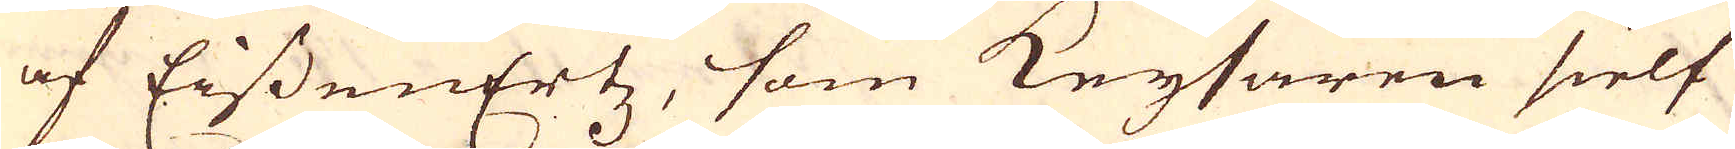af EissenErtz, som Keysaren sielf
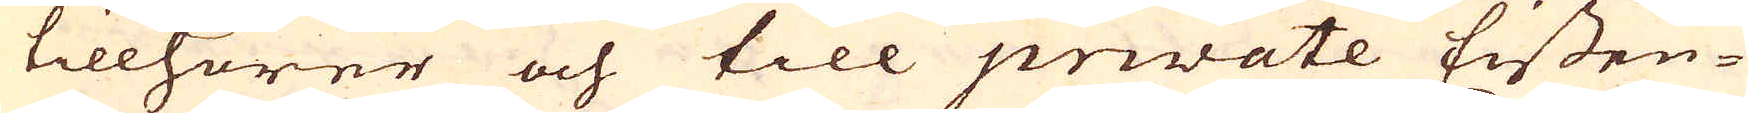tillhörer och till priwate Eissen-
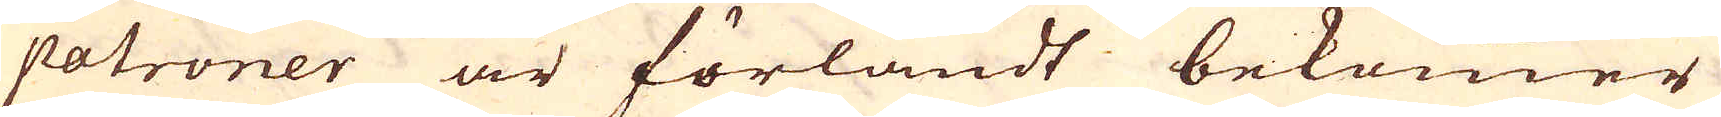patroner är förländt bekommer
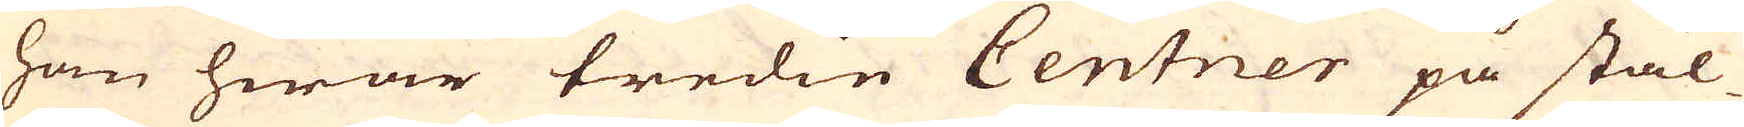han hwar tredie Centner på stäl-
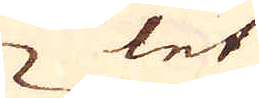let
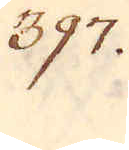397.
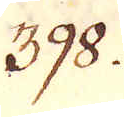398.
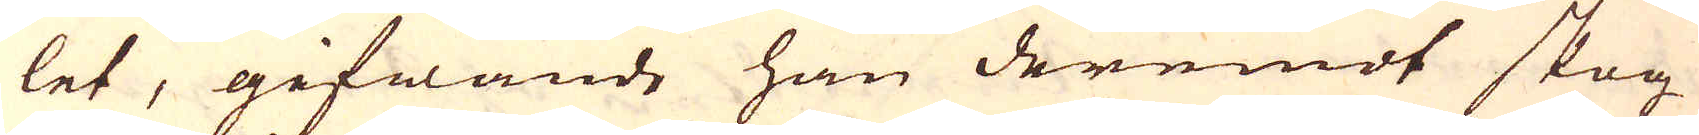let, gifwande han deremot skog
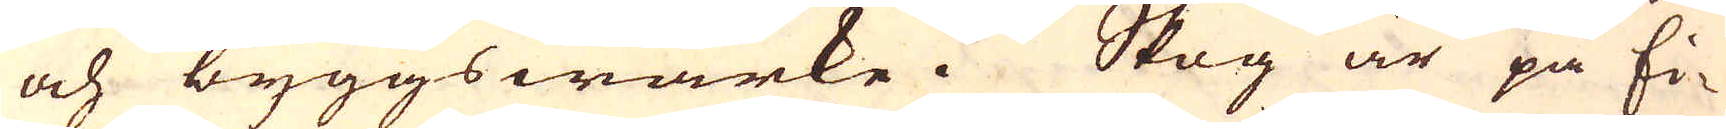och byggswärke. Skog är på Ei-
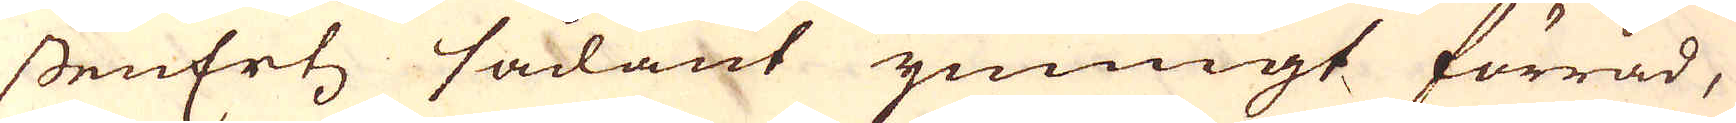ssenErtz sådant ymnigt förråd,
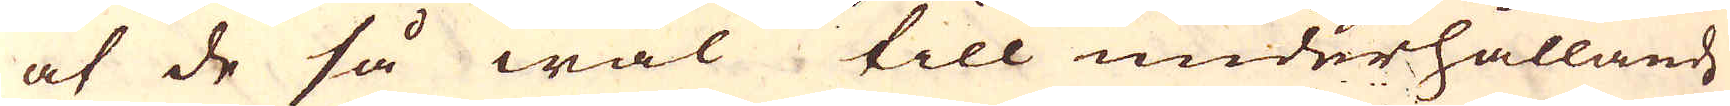at de så wäl till underhållande
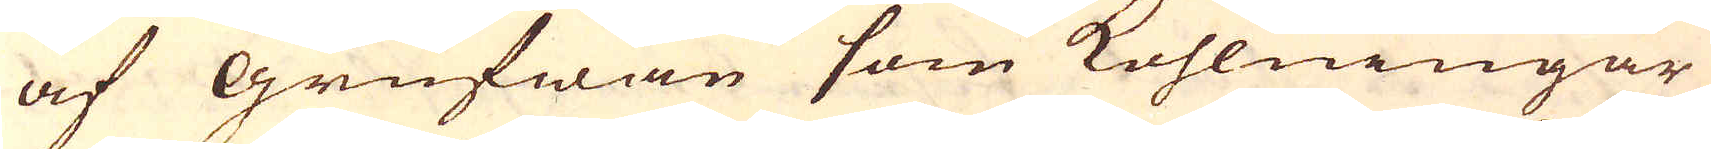af Grufwan som kohlningar
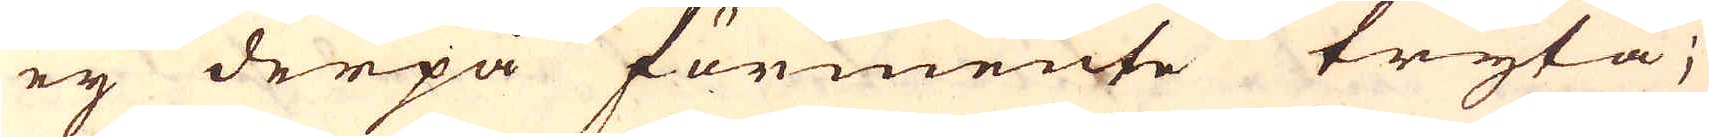ej derpå förmente tryta;
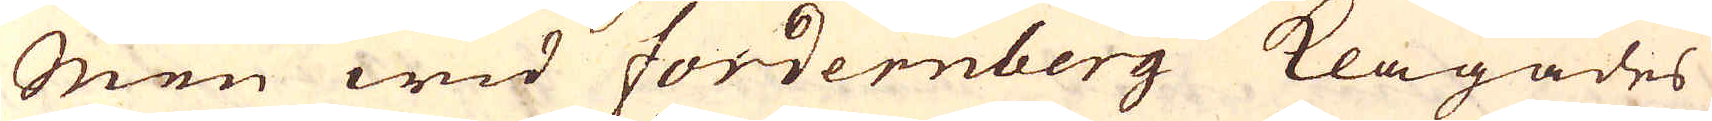Men wid Fordernberg klagades
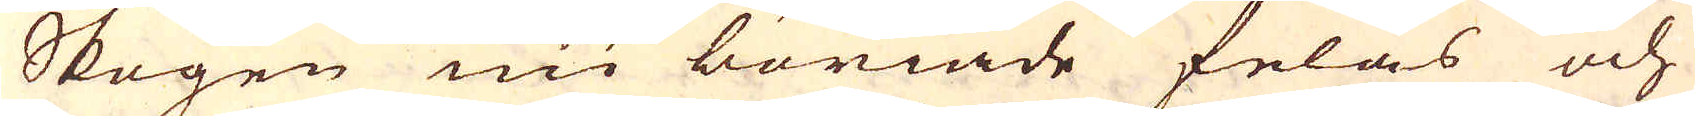Skogen nu böriade felas och
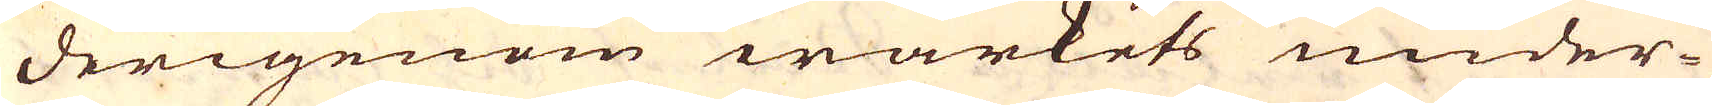derigenom wärkets under-
